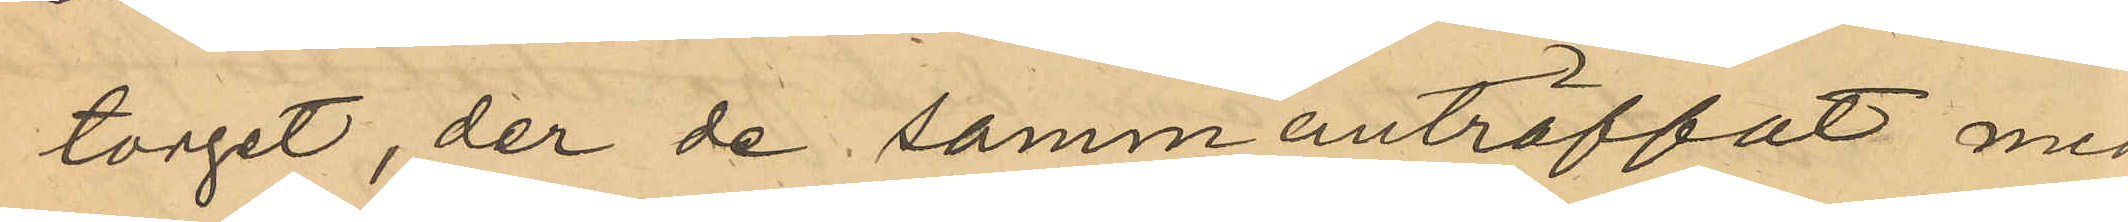torget, der de sammanträffat med
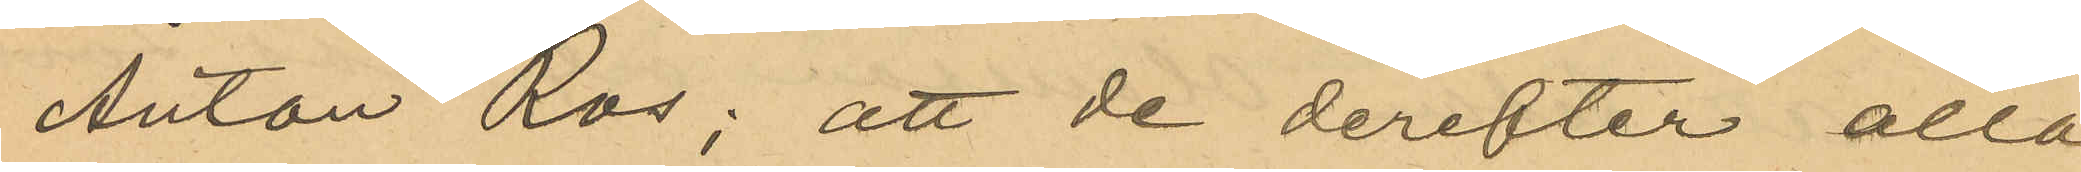Anton Ros; att de derefter alla
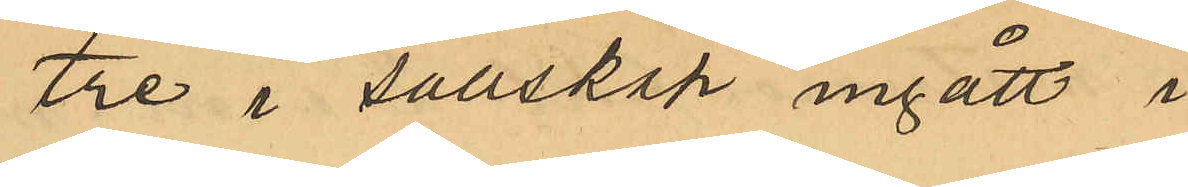tre i sällskap ingått i
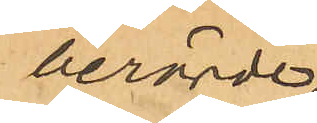berörda 
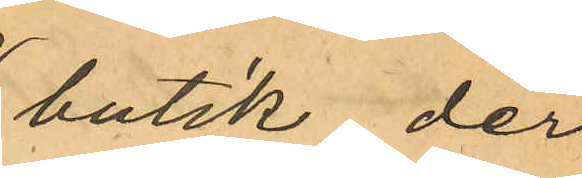butik, der
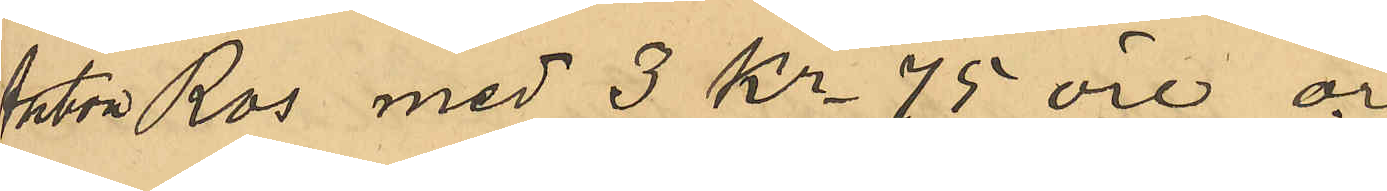Anton Ros med 3 Kr. 75 öre öre
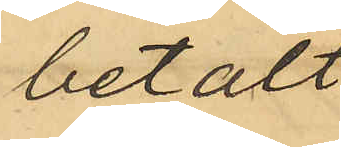betalt 
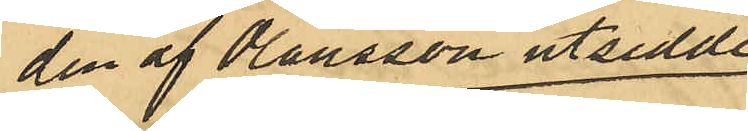den af Olausson utsedde
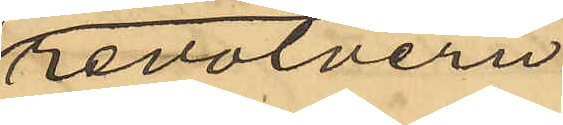revolvern
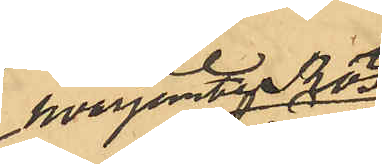hvarjemte Ros
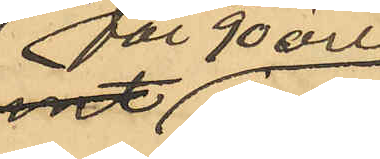för 90 öre
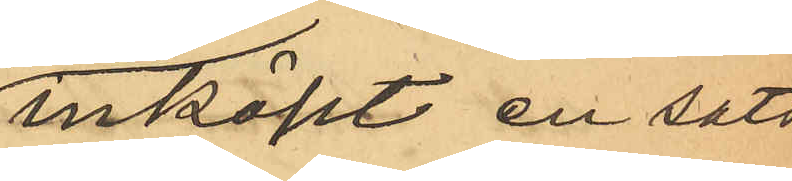inköpt en sats
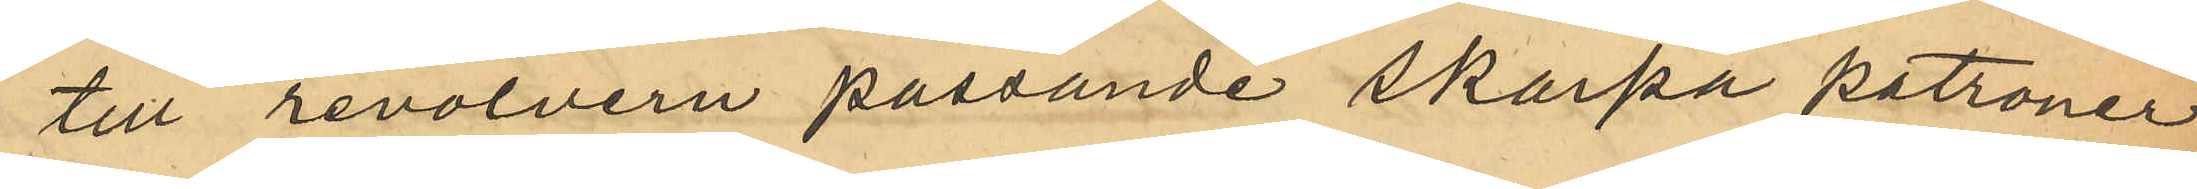till revolvern passande skarpa patroner;
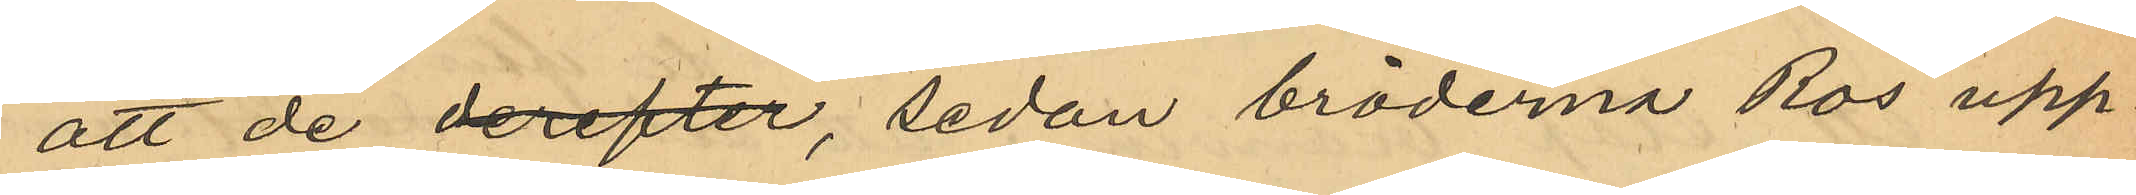att de derefter, sedan bröderna Ros upp¬
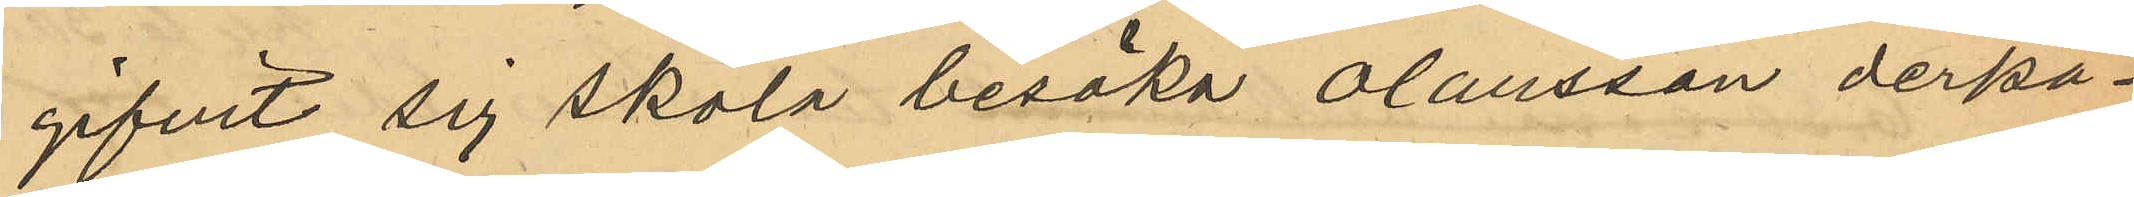gifvit sig skola besöka Olausson derpå¬
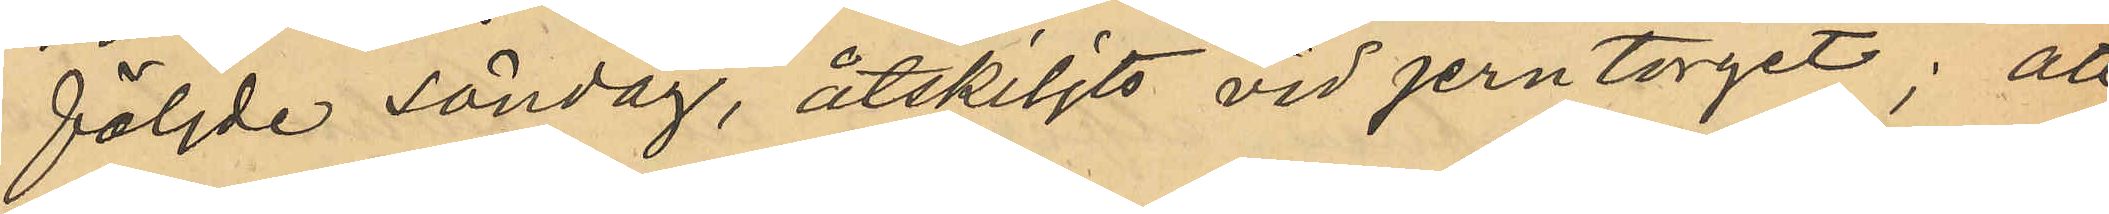följde Söndag, åtskiljts vid Jerntorget; att
